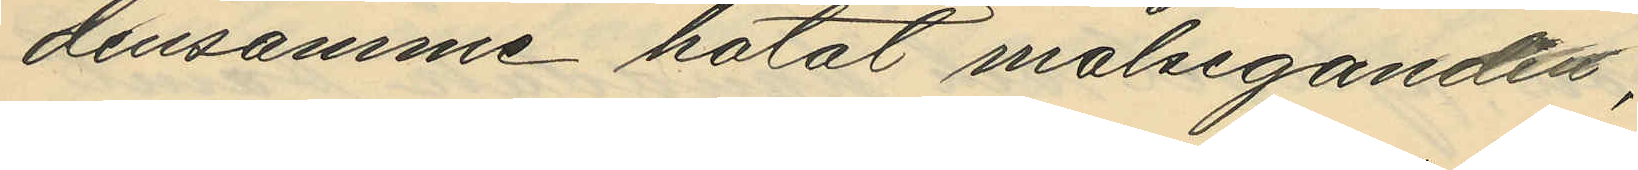densamme hotat målsegandes,
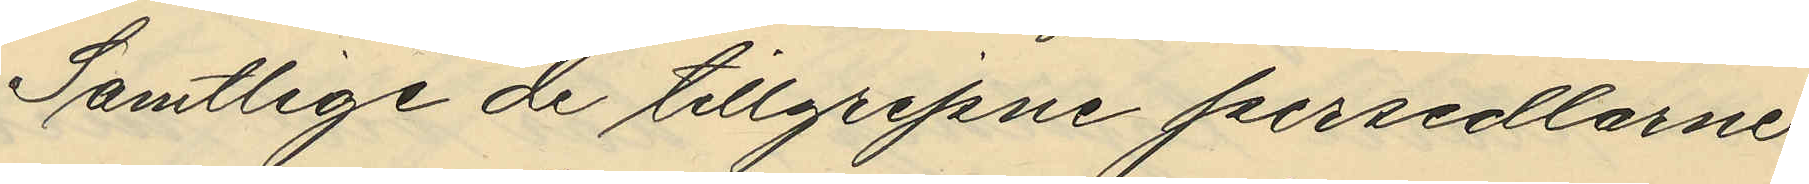Samtlige de tillgripne persedlarne
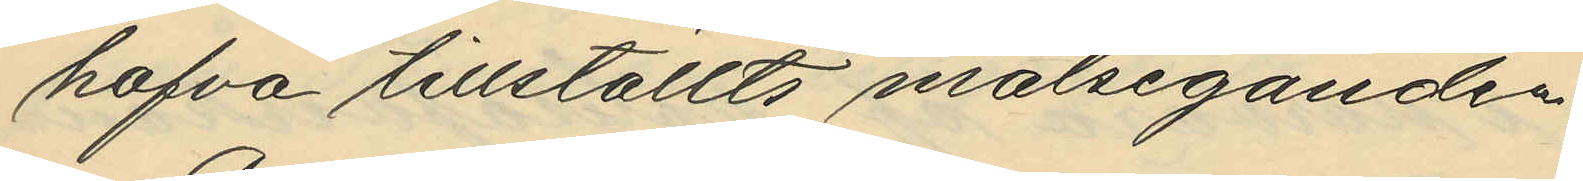hafva tillställts målseganden.
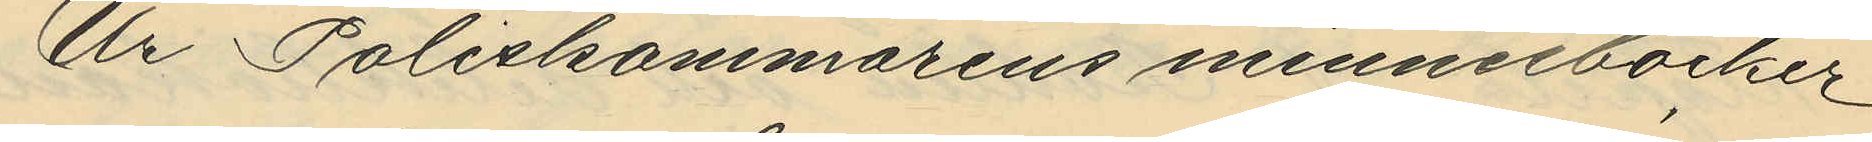Ur Poliskammarens minnesböcker
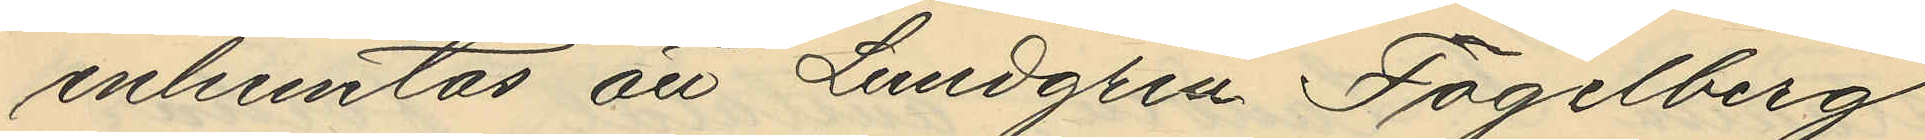inheemtas att Lundgren Fogelberg
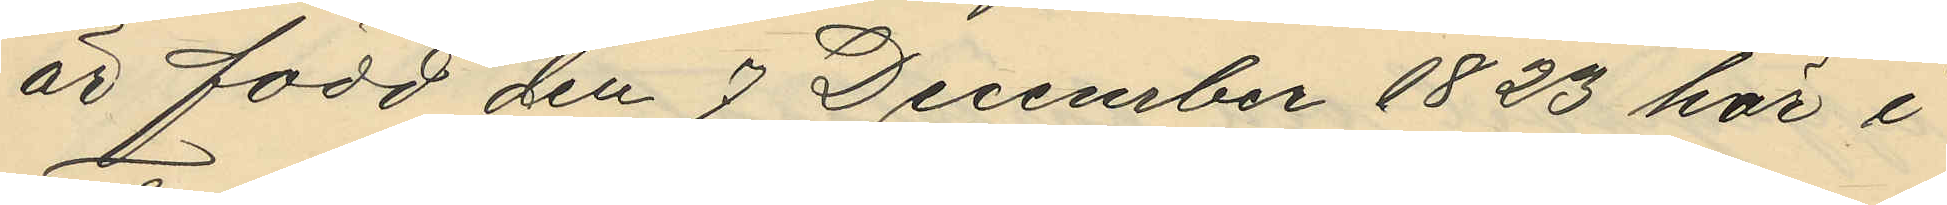är född den 7 December 1823 här i
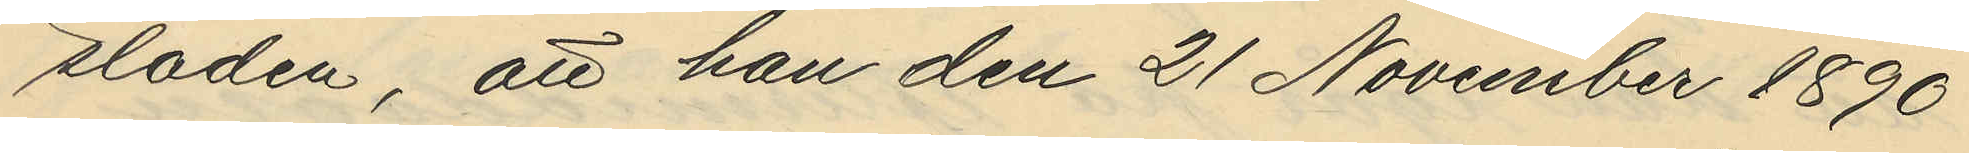staden, att han den 21 November 1890
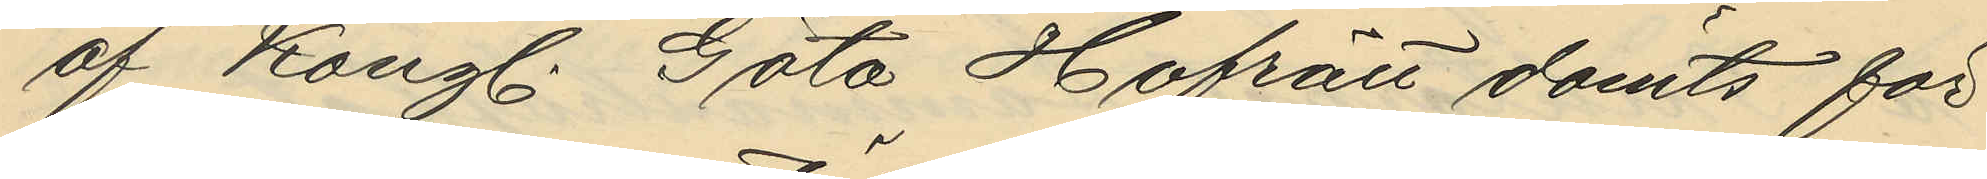af Kongl. Göta Hofrätt dömts för
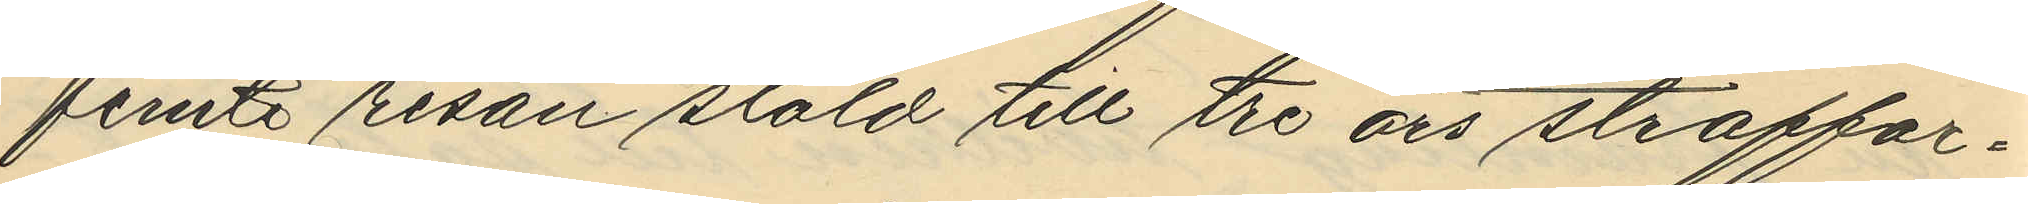femte resan stöld till tre års straffar¬
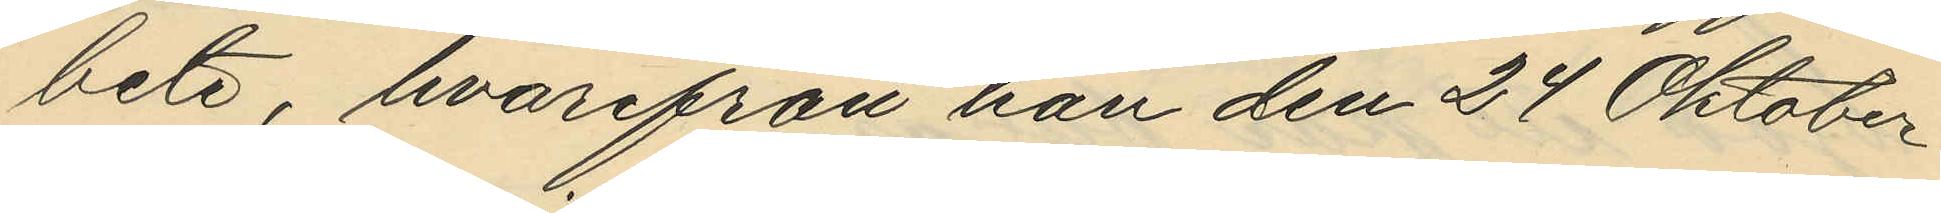bete, hvarifrån han den 24 Oktober
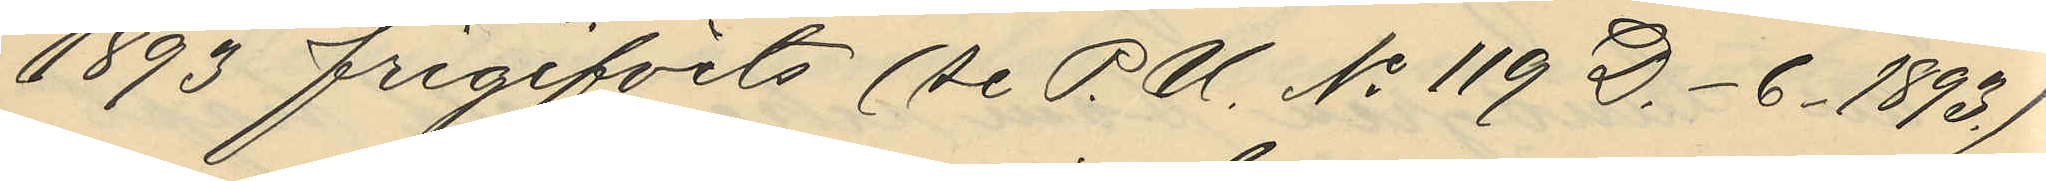1893 frigifvits (se P.U. No 119 D.6. 1893.)
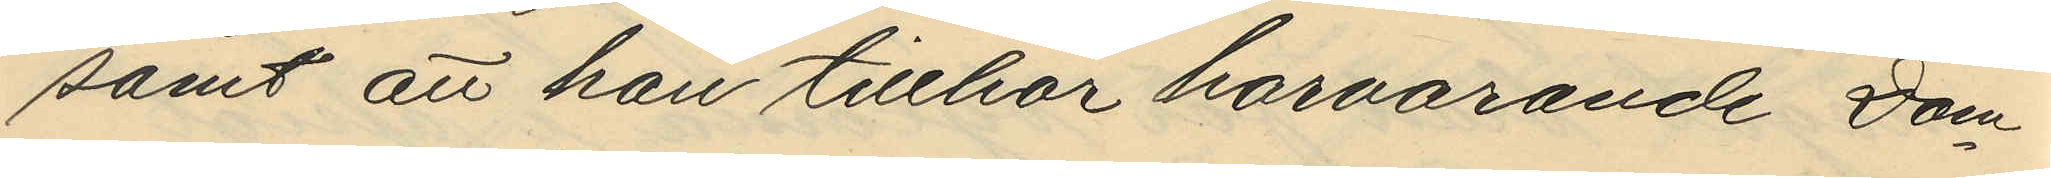samt att han tillhör härvarande Dom¬
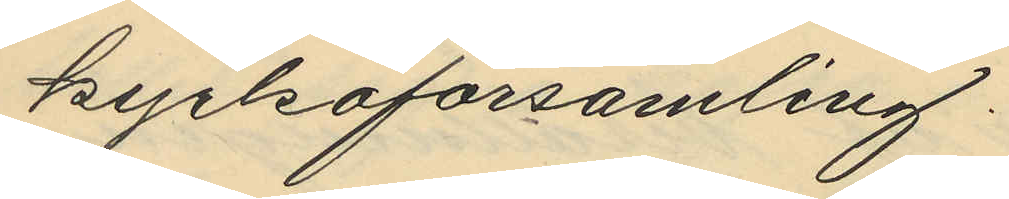kyrkoförsamling.
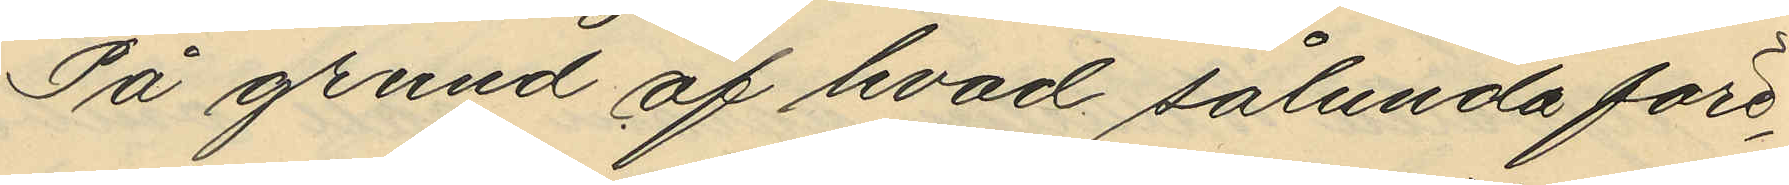På grund af hvad sålunda före¬
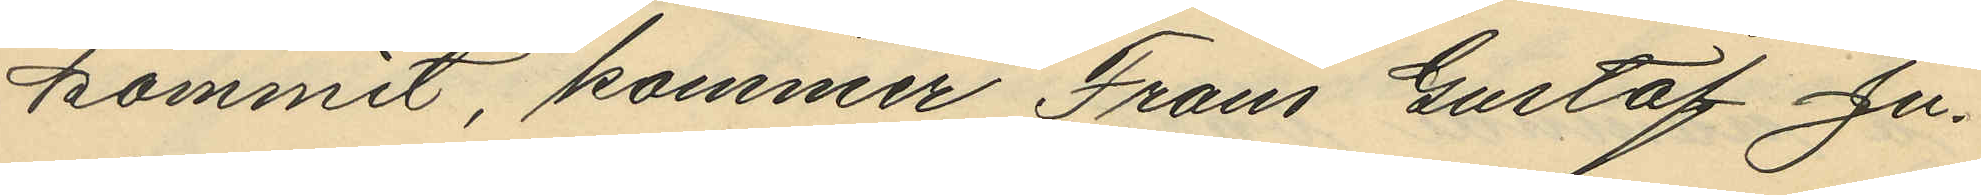kommit, kommer Frans Gustaf Ju¬
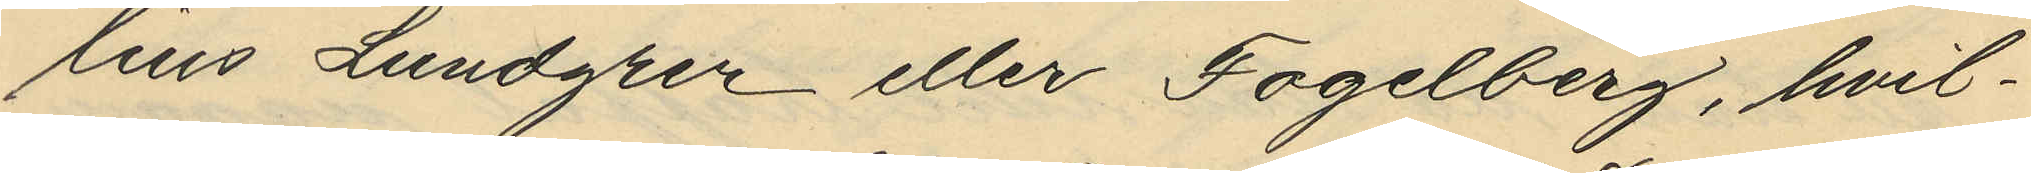lius Lundgren eller Fogelberg, hvil¬
